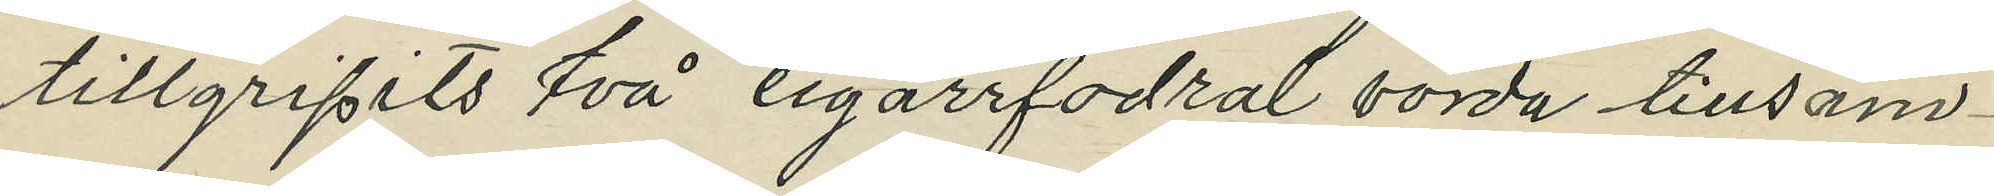tillgripits två cigarrfodral värda tillsam¬
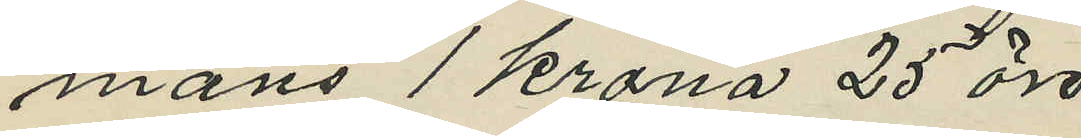mans 1 krona 25 öre.
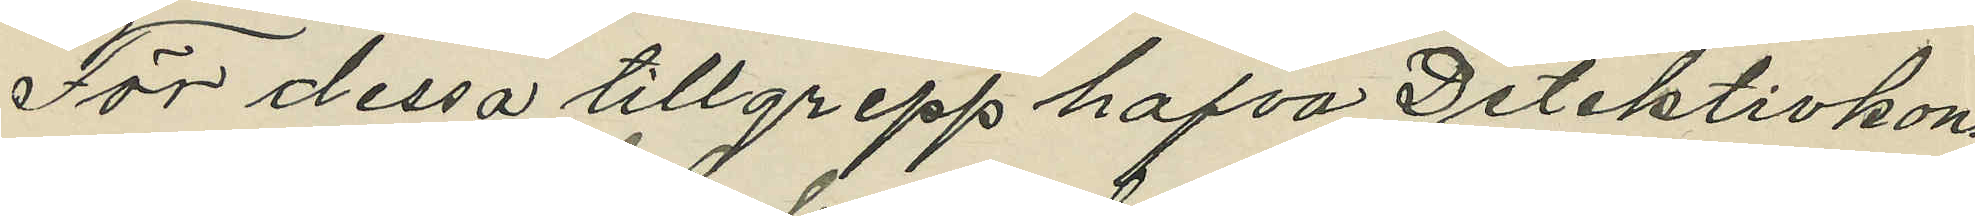För dessa tillgrepp hafva Detektivkon¬
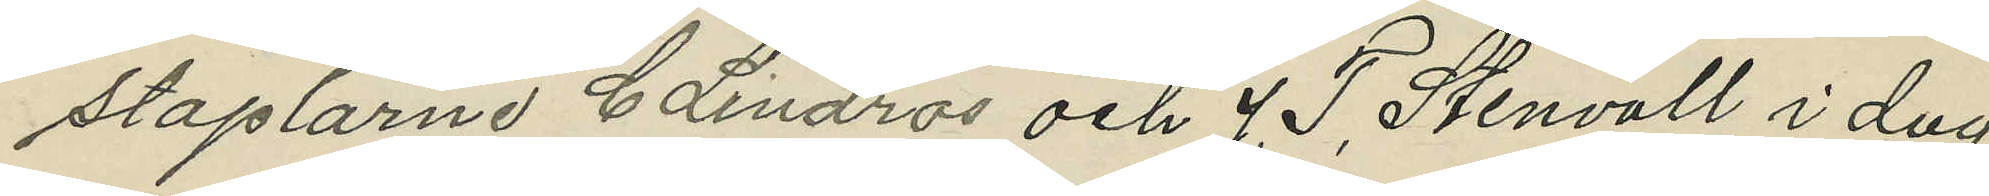staplarne C Lindros och J. T. Stenvall i dag
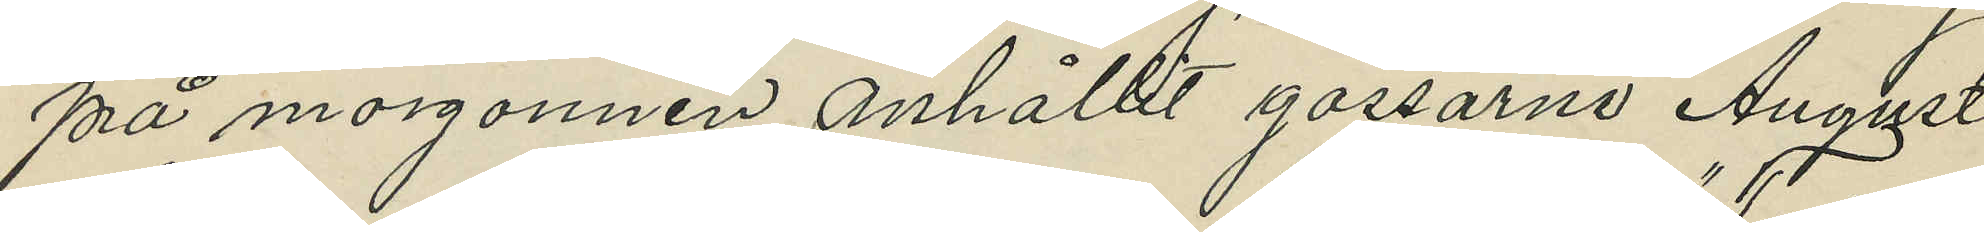på morgonnen anhållit gossarne August
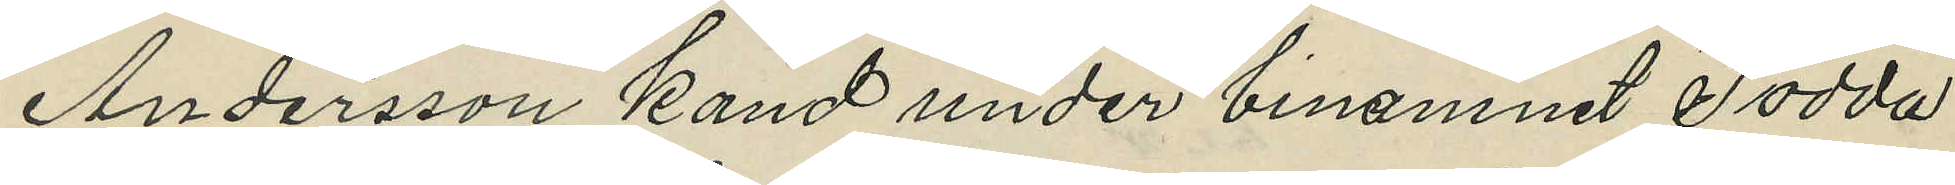Andersson känd under binamnet "Todda"
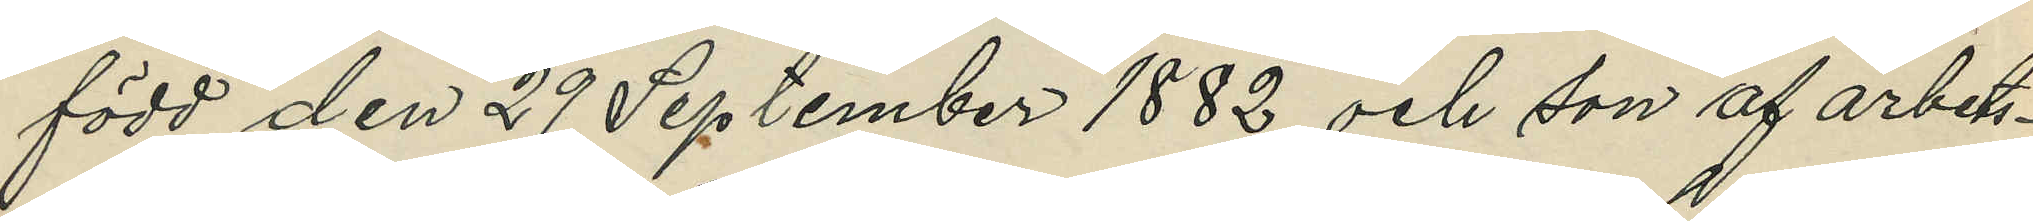född den 29 September 1882 och son af arbets¬
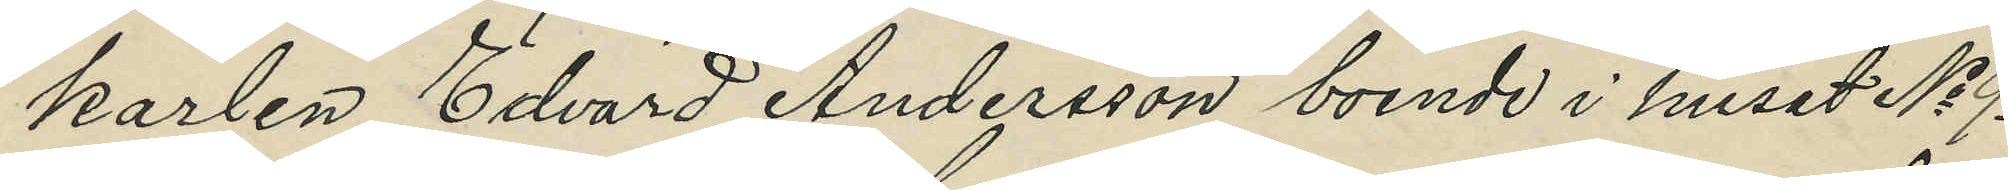karlen Edvard Andersson boende i huset No 9
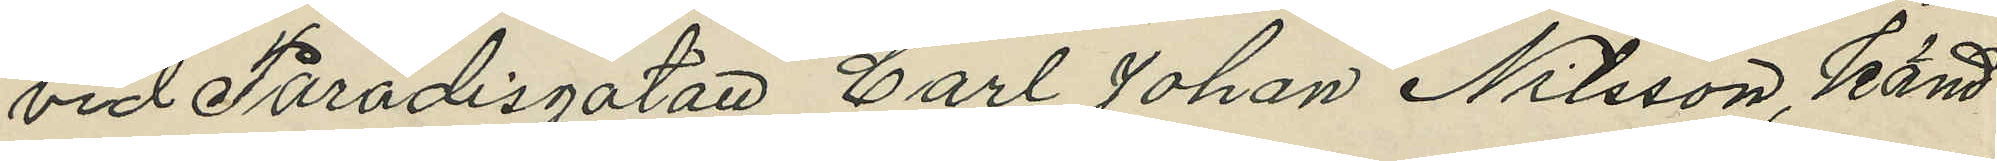vid Paradisgatan Carl Johan Nilsson, känd
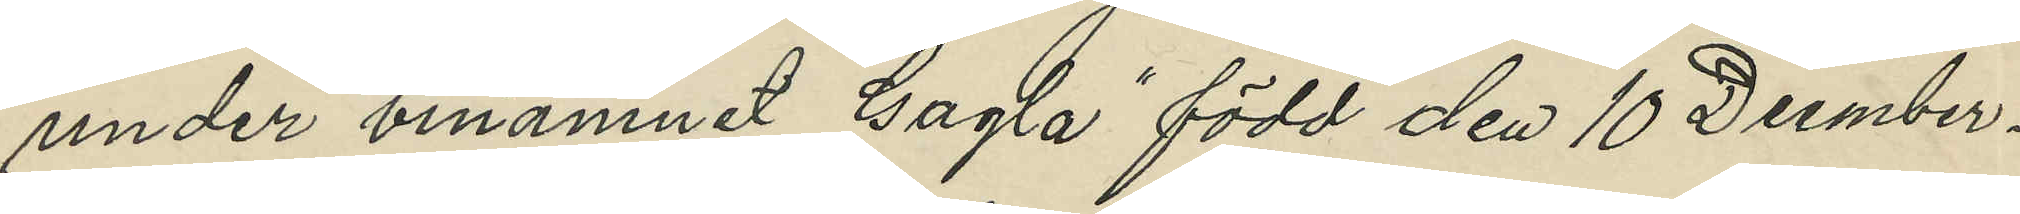under binamnet "Gagla" född den 10 Decmber,
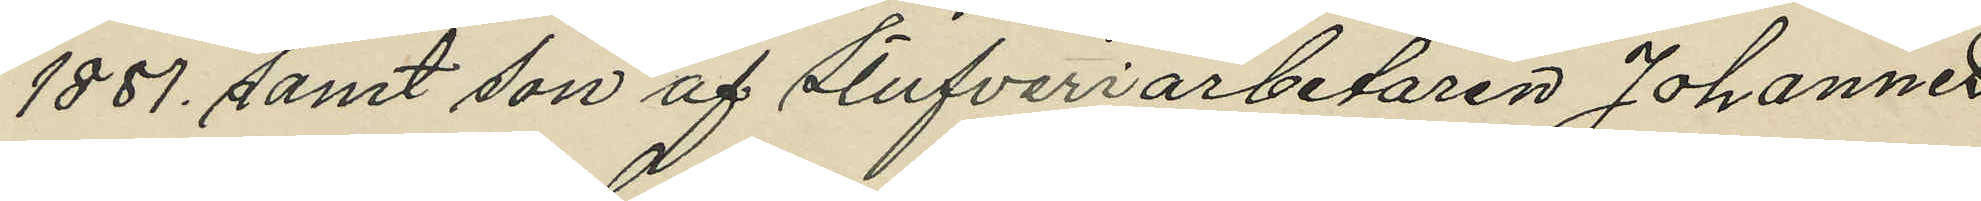1881, samt son af stufveriarbetaren Johannes
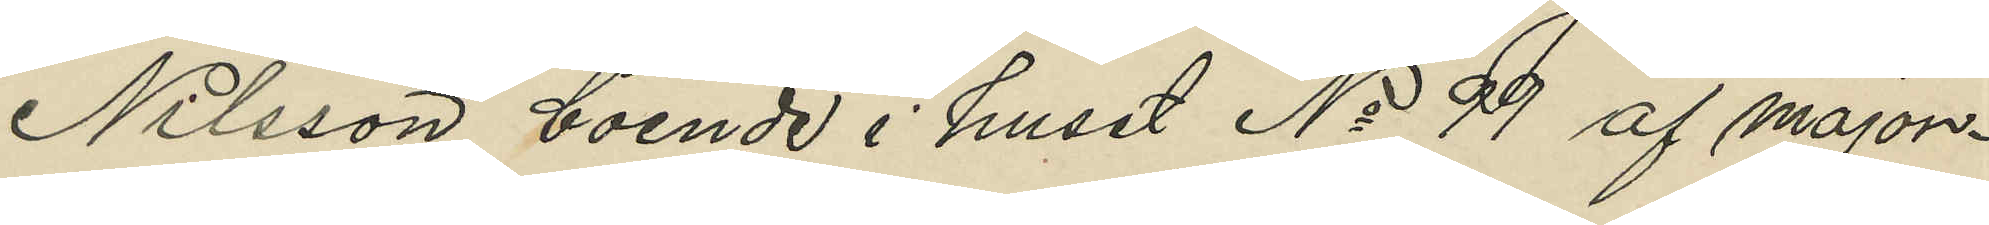Nilsson, boende i huset No 99 af major¬
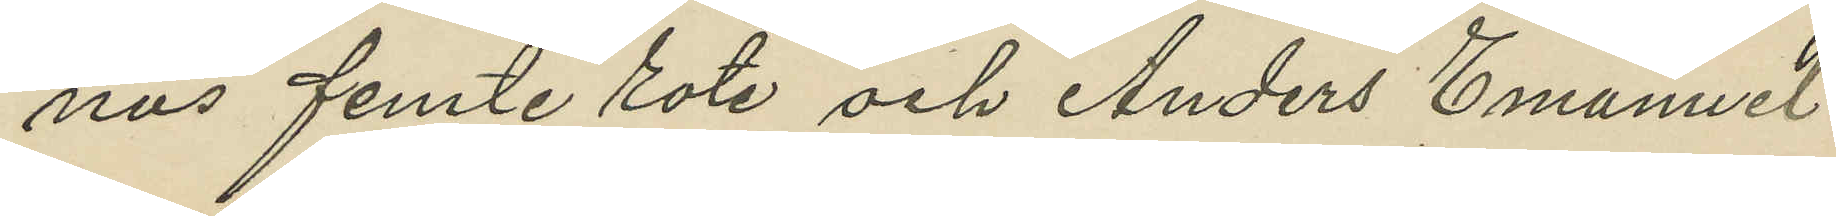nas femte rote och Anders Emanuel
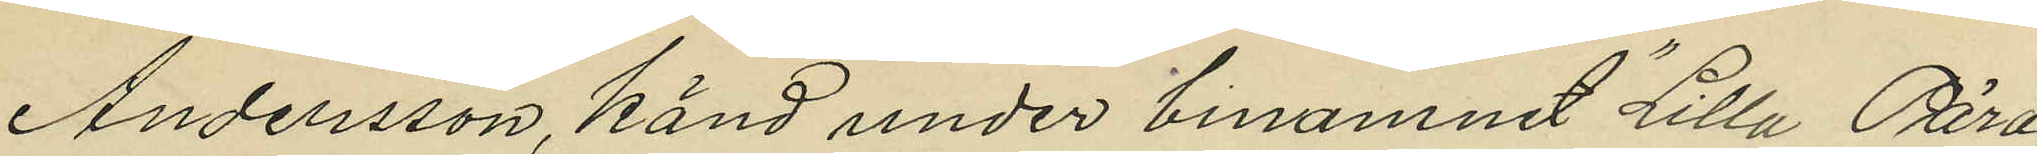Andersson, känd under binamnet "Lilla Pära",
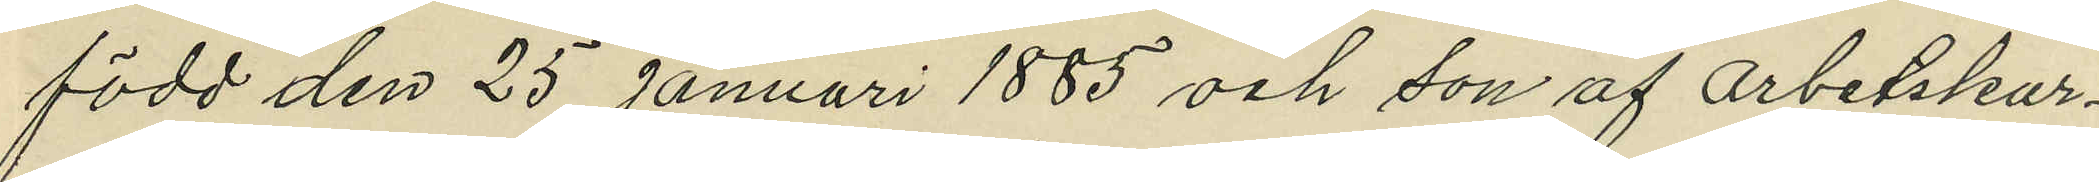född den 25 Januari 1885 och son af arbetskar¬
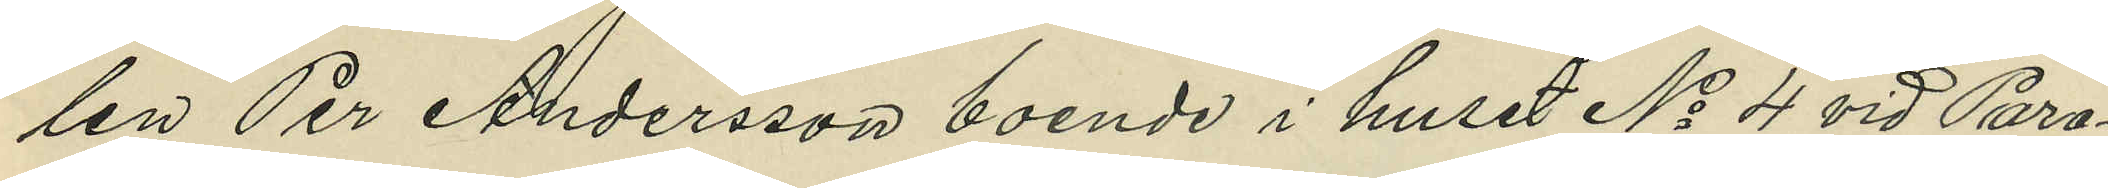len Per Andersson, boende i huset No 4 vid Para¬
